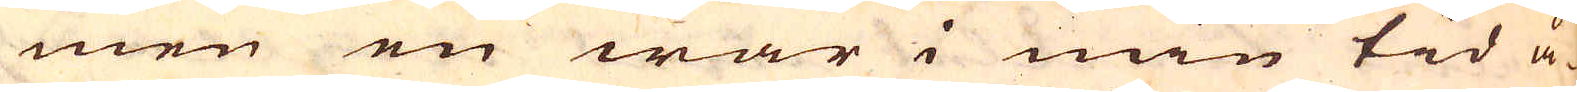men en war i min tid å-
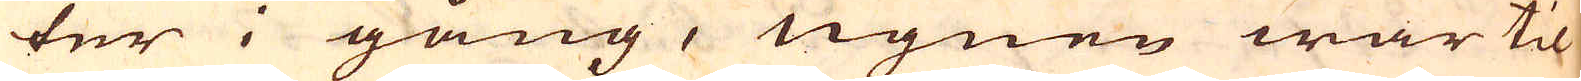ter i gång, ugnen war til
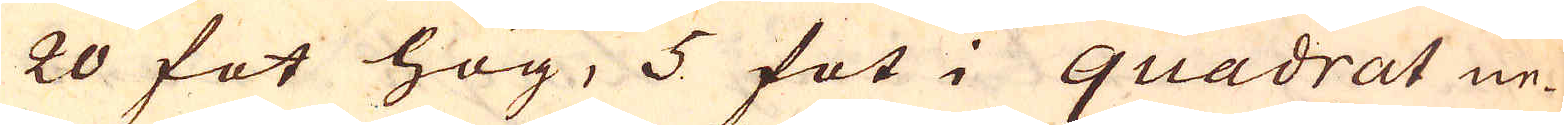20 fot hög, 5 fot i quadrat ne-
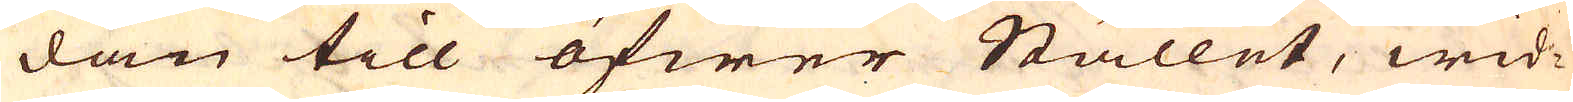dan till öfwer Stållet, wid-
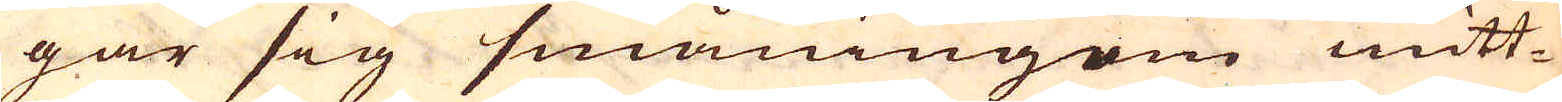gar sig småningom mitt-
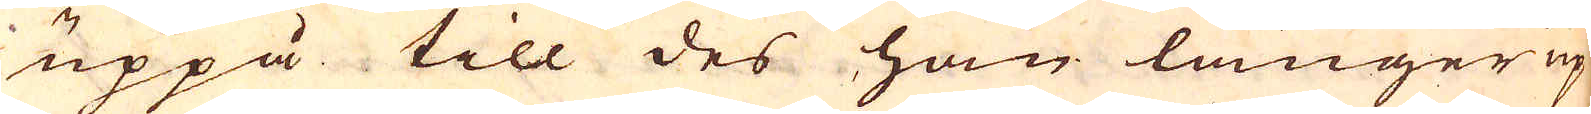uppå till des han länger up
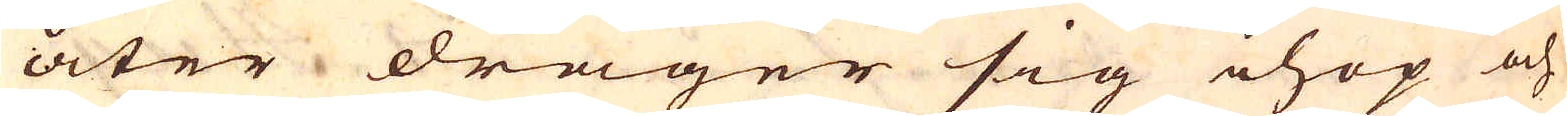åter drager sig ihop och
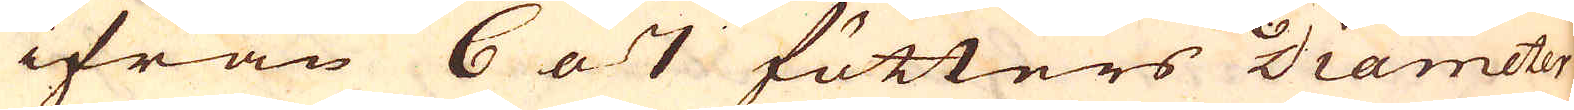ifrån 6 a 7 fötters Diameter
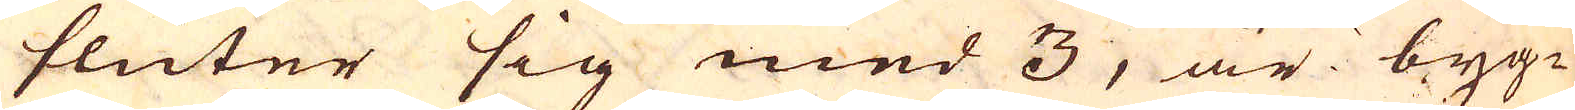sluter sig med 3, är byg-
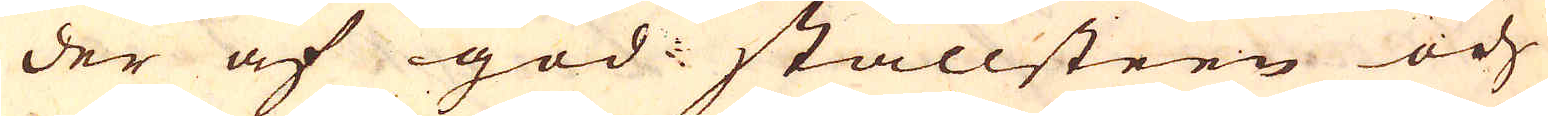der af god ställsteen och
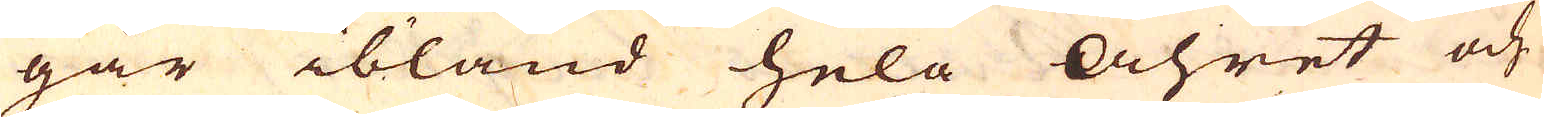går ibland hela åhret och
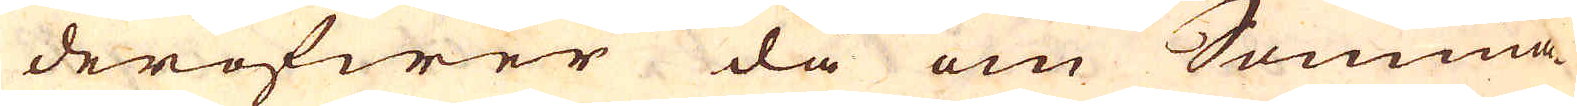deröfwer då om Somma-
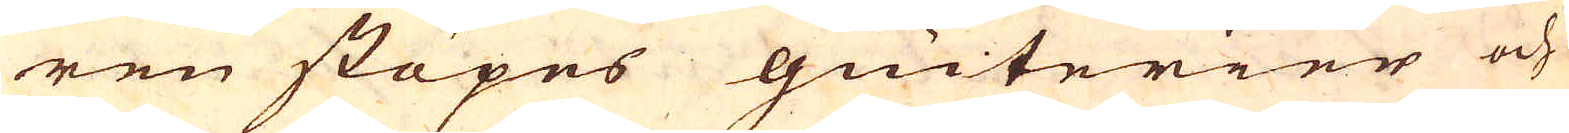ren stöpes giuterier och
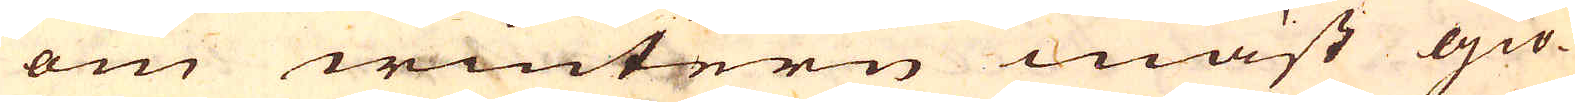om wintern mäst giö-
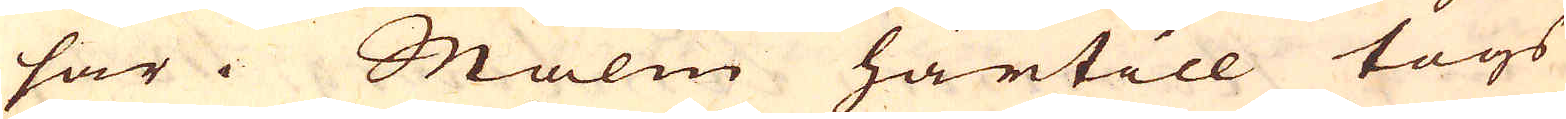sar. Malm härtill togs
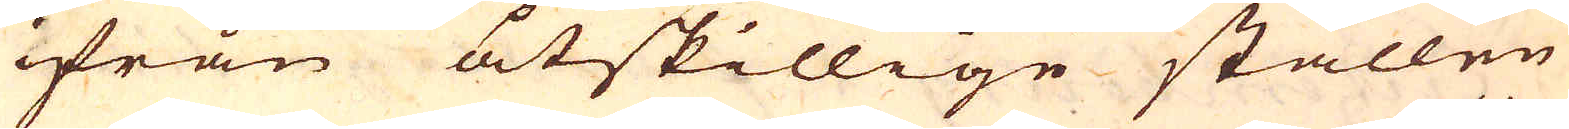ifrån åtskillige ställen
